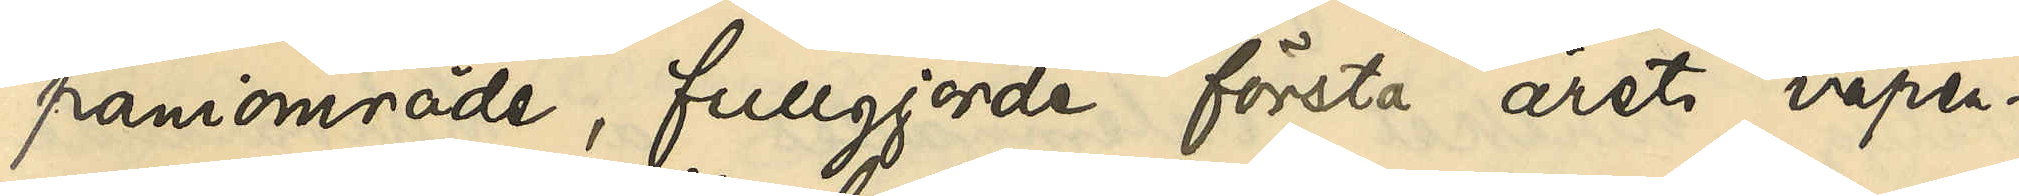paniområde, fullgjorde första årets vapen¬
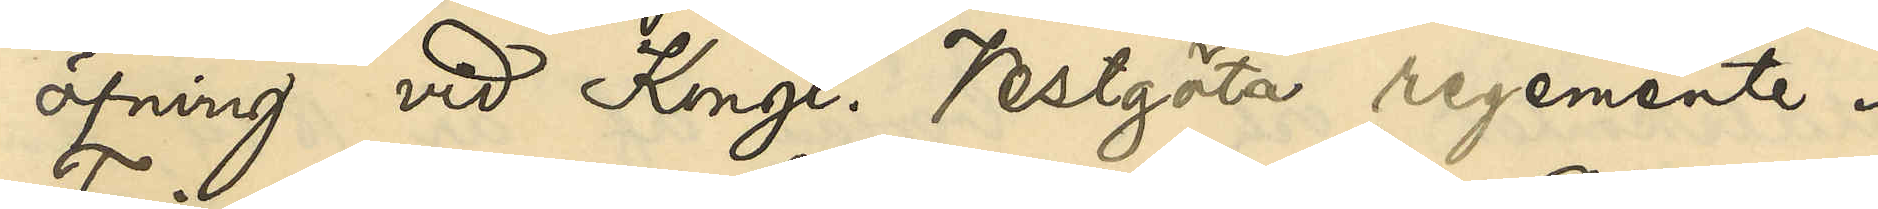öfning vid Kongl Vestgöta regemente.
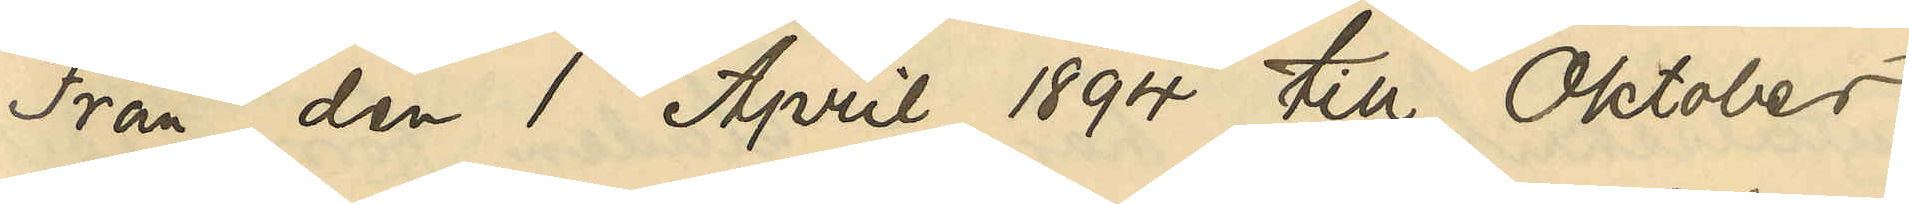Från den 1 April 1894 till Oktober
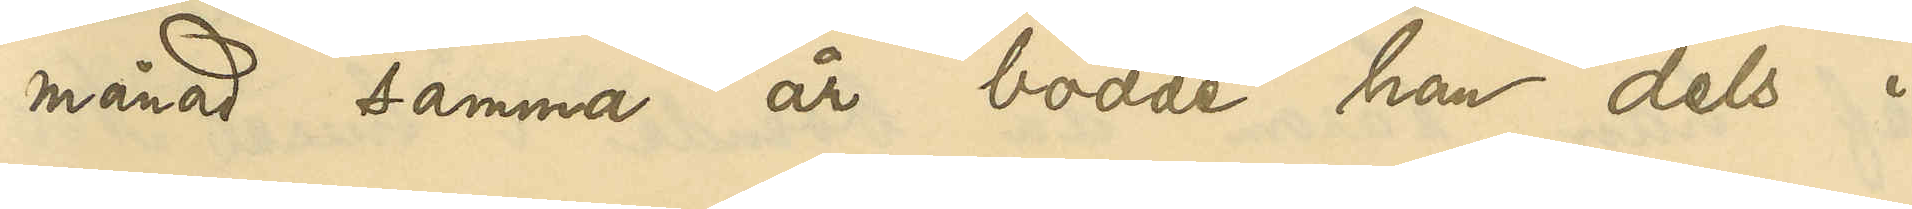månad samma år bodde han dels i
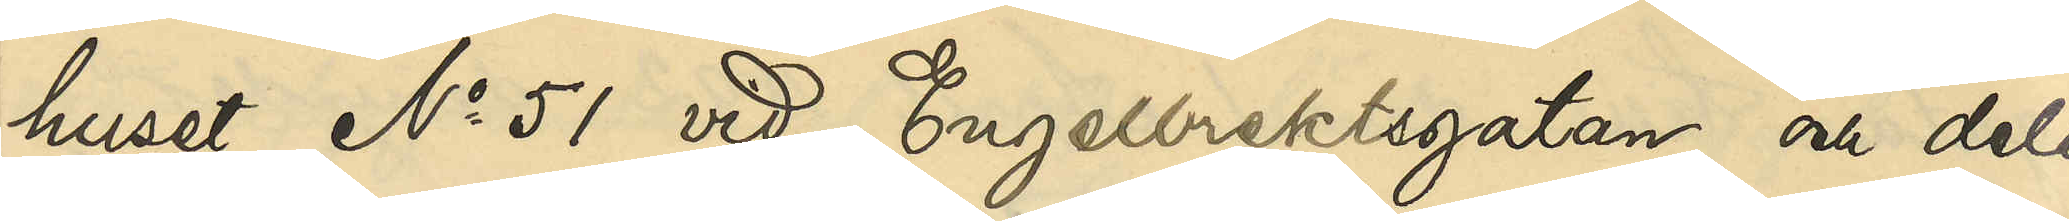huset No 51 vid Engelbrektsgatan och dels
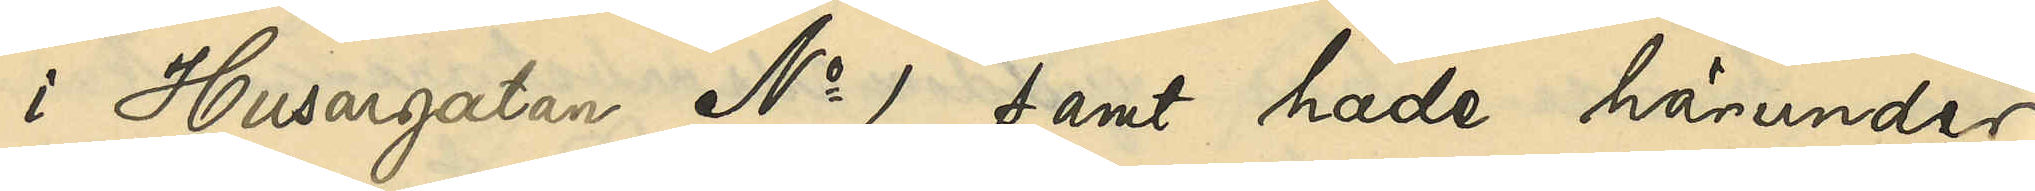i Husargatan No 1 samt hade härunder
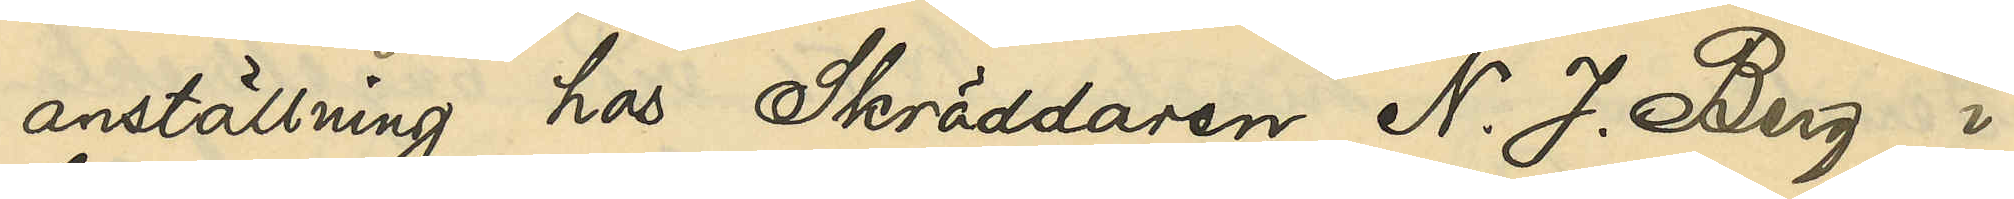anställning hos Skräddaren N. J. Berg i
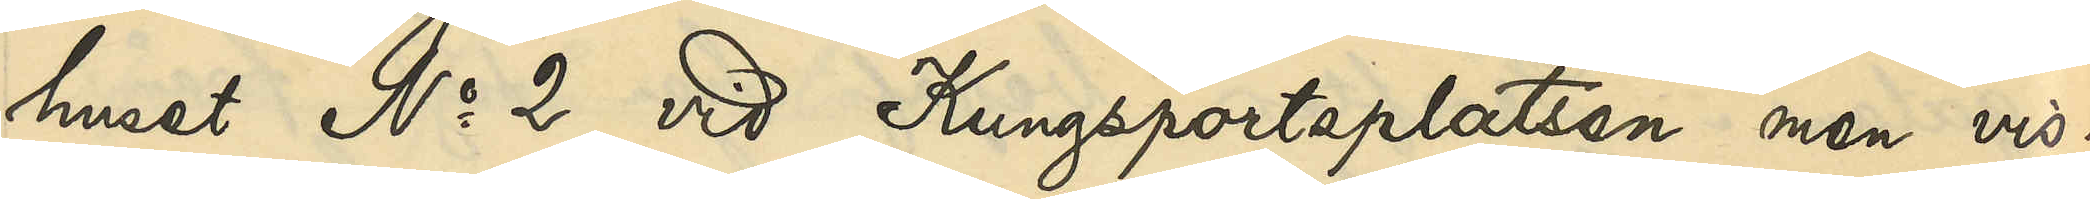huset No 2 vid Kungsportsplatsen men vis¬
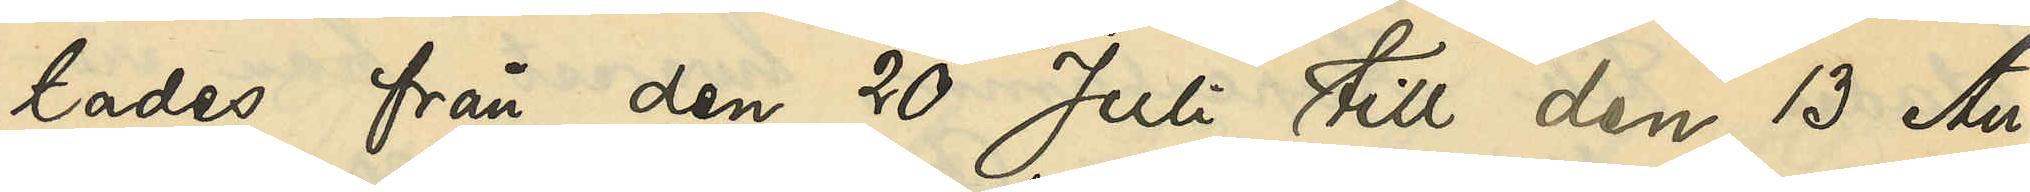tades från den 20 Juli till den 13 Au¬
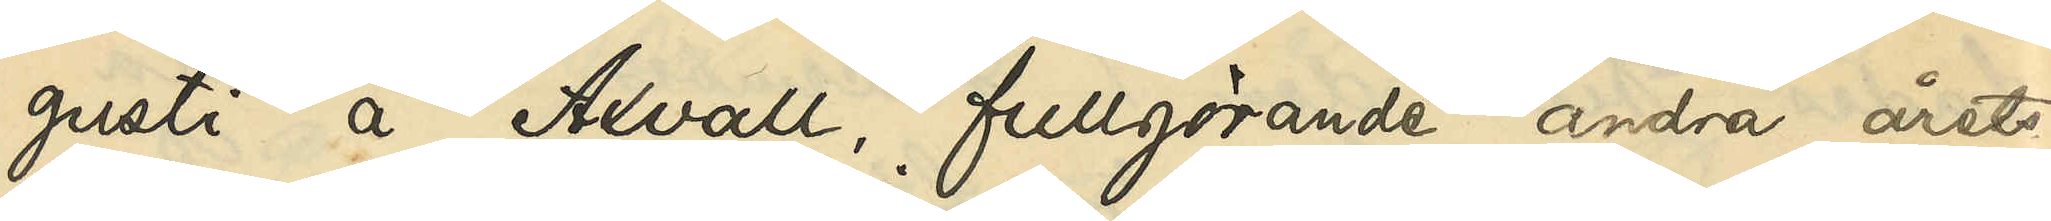gusti å Axvall, fullgörande andra årets
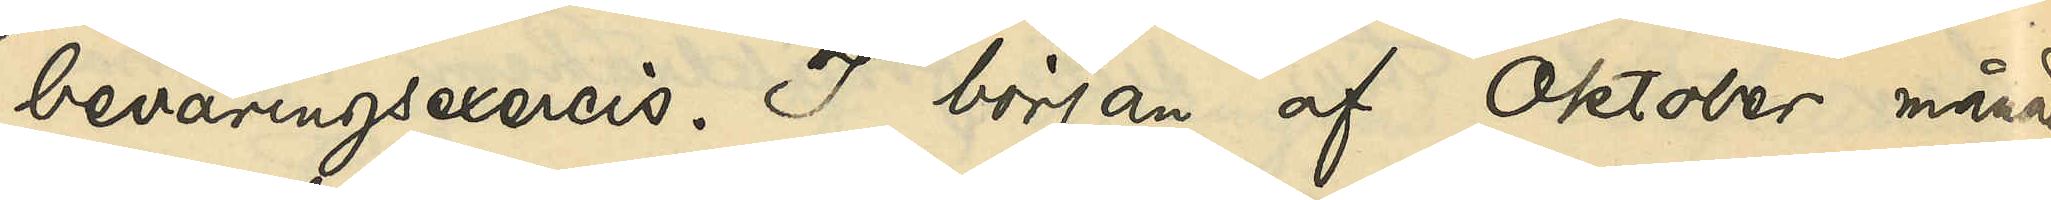beväringsexercis. I början af Oktober månad
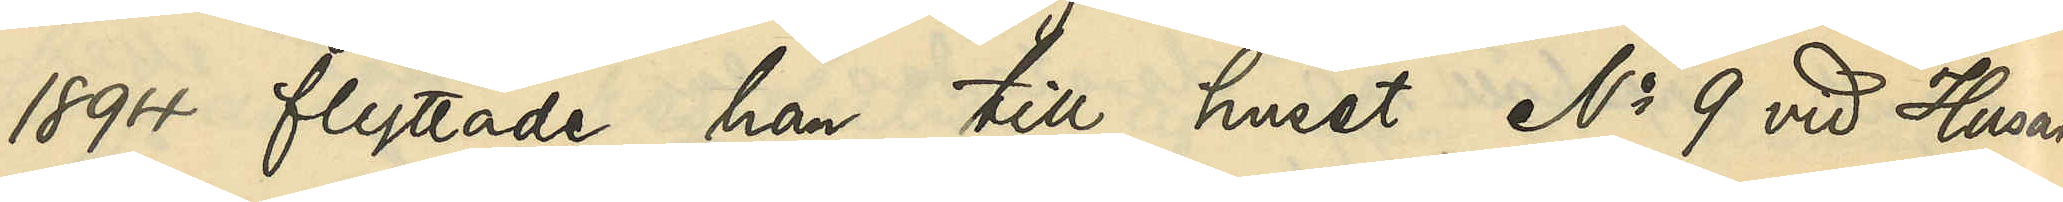1894 flyttade han till huset No 9 vid Husar¬
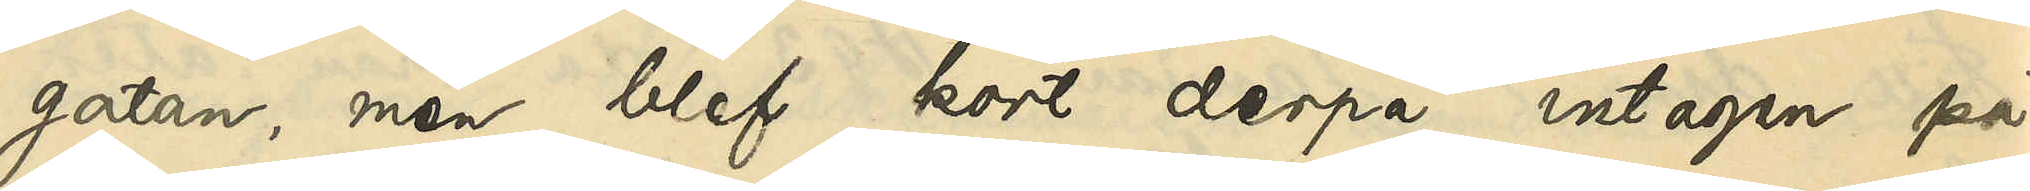gatan, men blef kort derpå intagen på
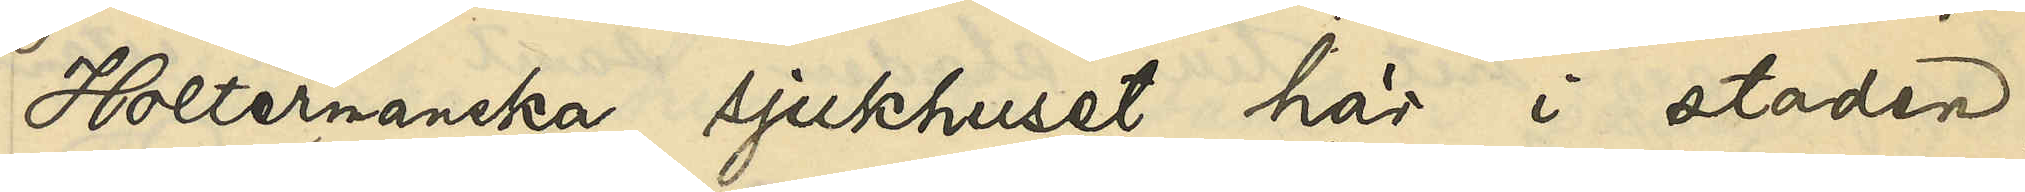Holtermanska sjukhuset här i staden,
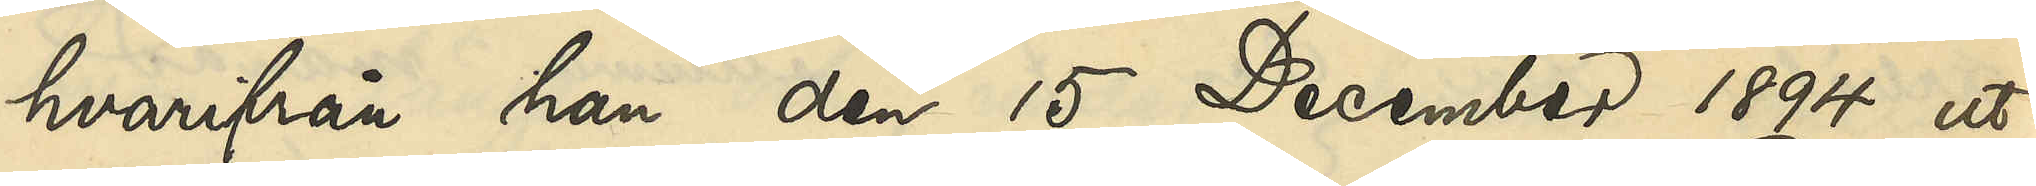hvarifrån han den 15 December 1894 ut¬
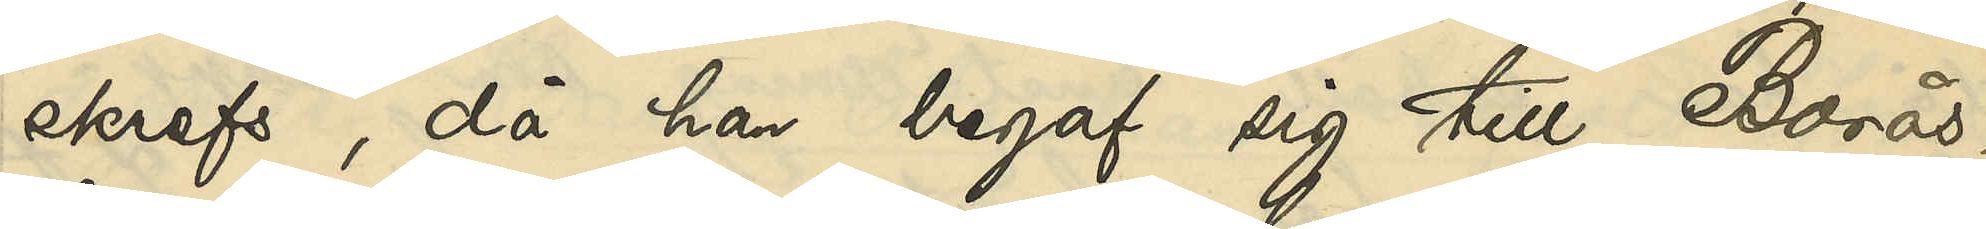skrefs, då han begaf sig till Borås,
